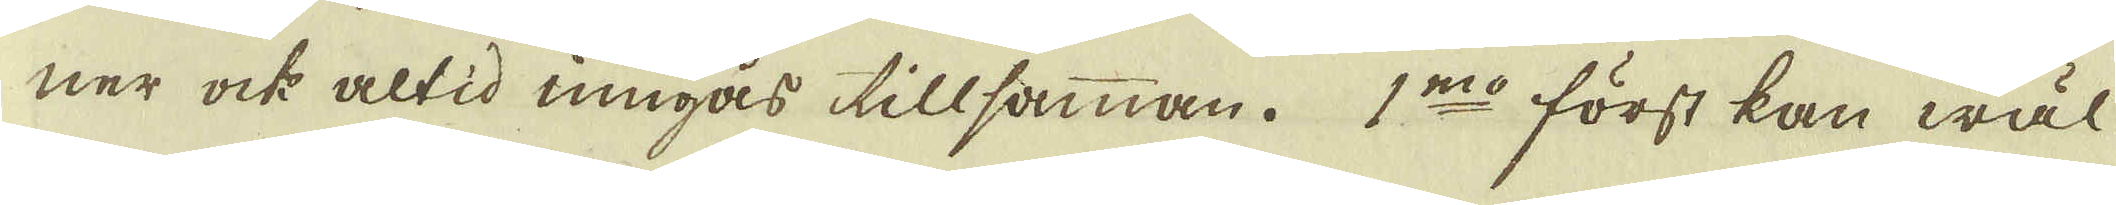ner ock altid umgås tillsamman. 1:mo först kan wäl
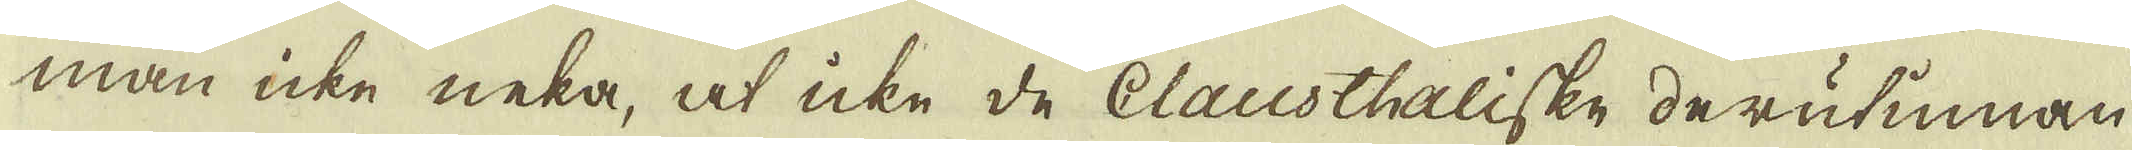man icke neka, at icke de Clausthaliske derutinnan
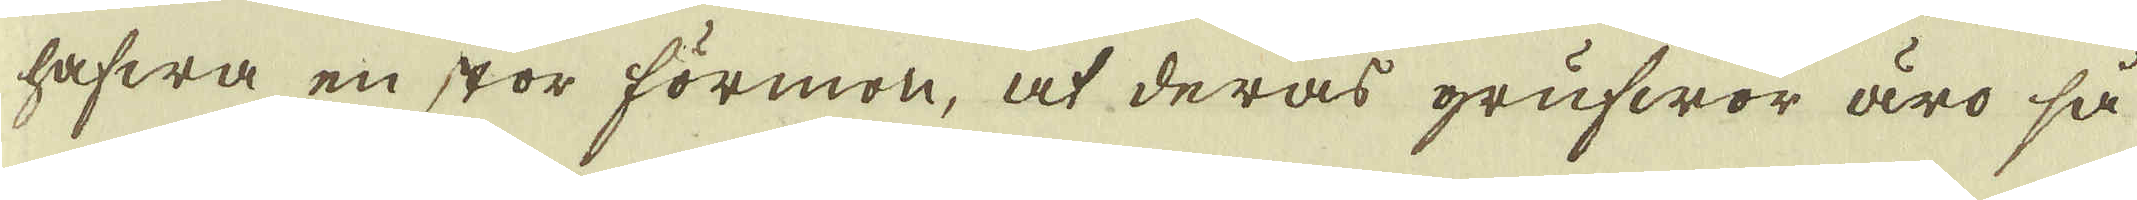hafwa en stor förmon, at deras grufwor äro så
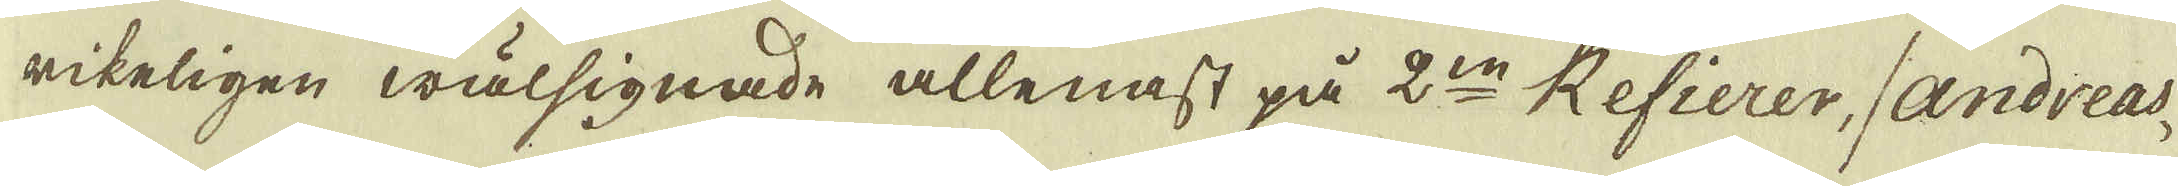rikeligen wälsignade allenast på 2:ne Refierer, / Andreas-
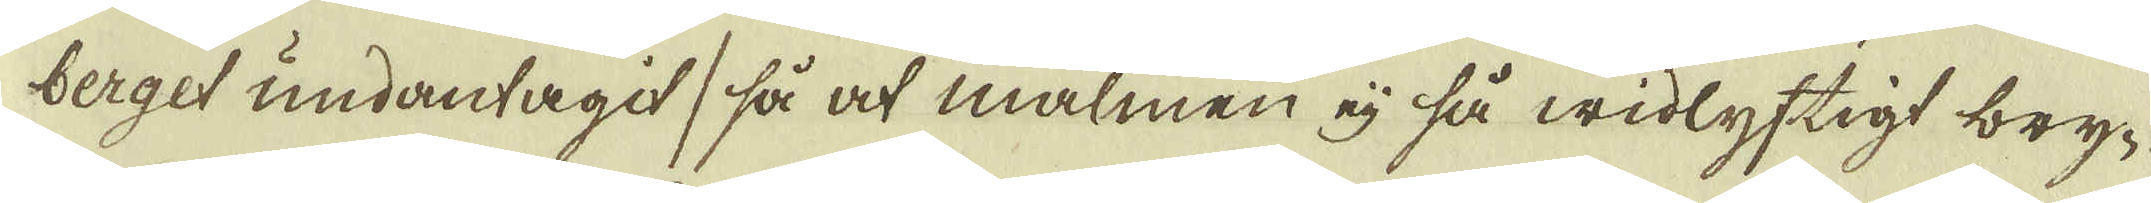berget undantagit / så at malmen eij så widlyftigt bry-
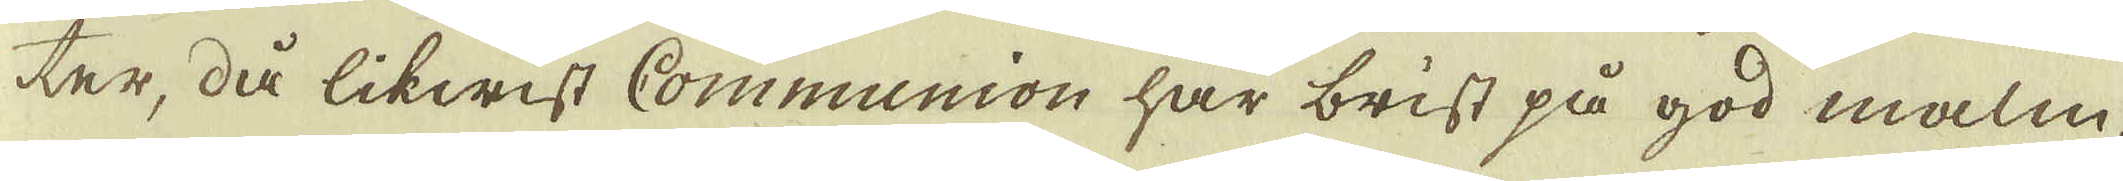ter, då likwist Communion har brist på god malm,
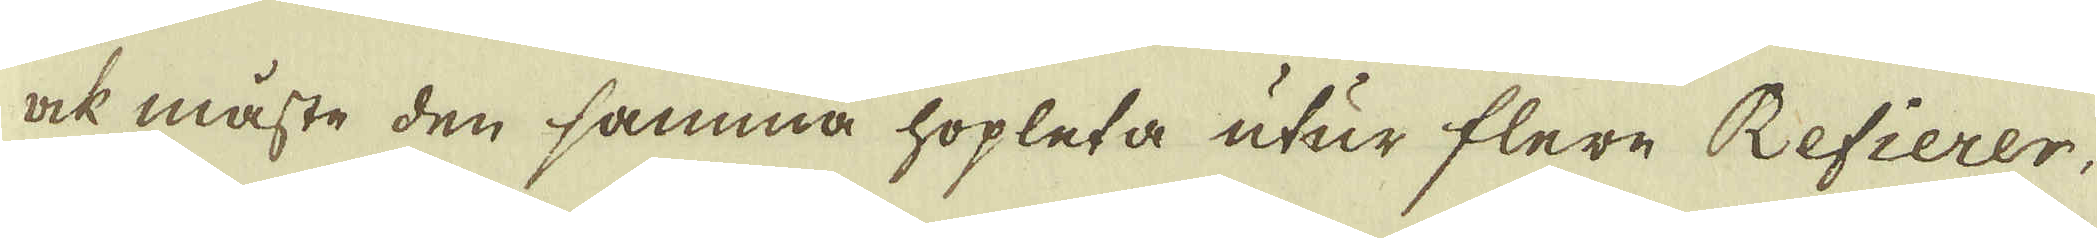ock måste den samma hopleta utur flere Refierer,
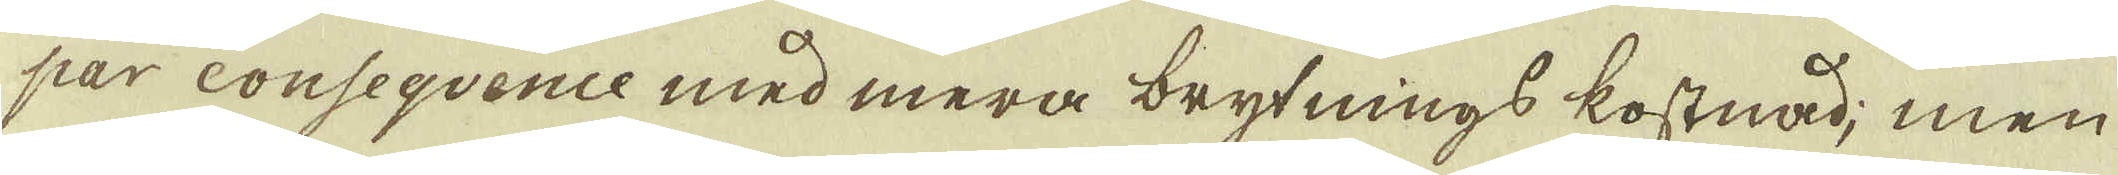par consequence med mera brytnings kostnad; men
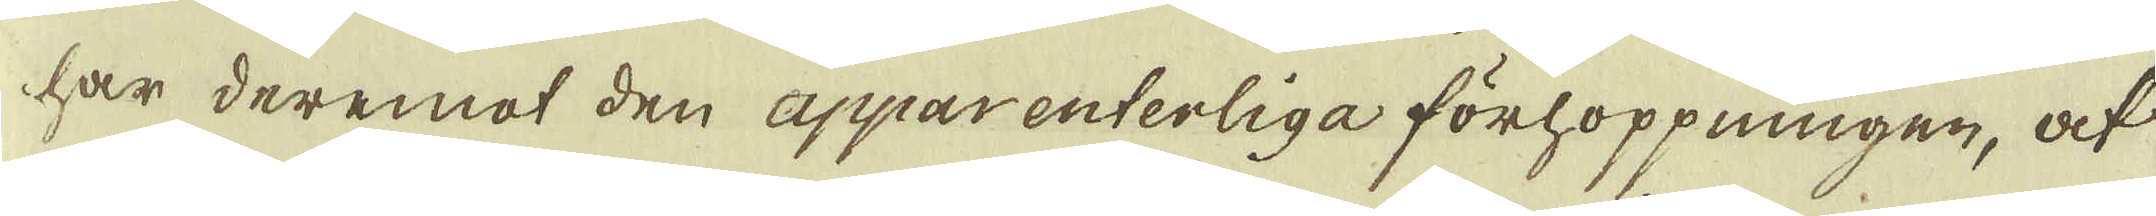har deremot den apparenterliga förhoppningen, at
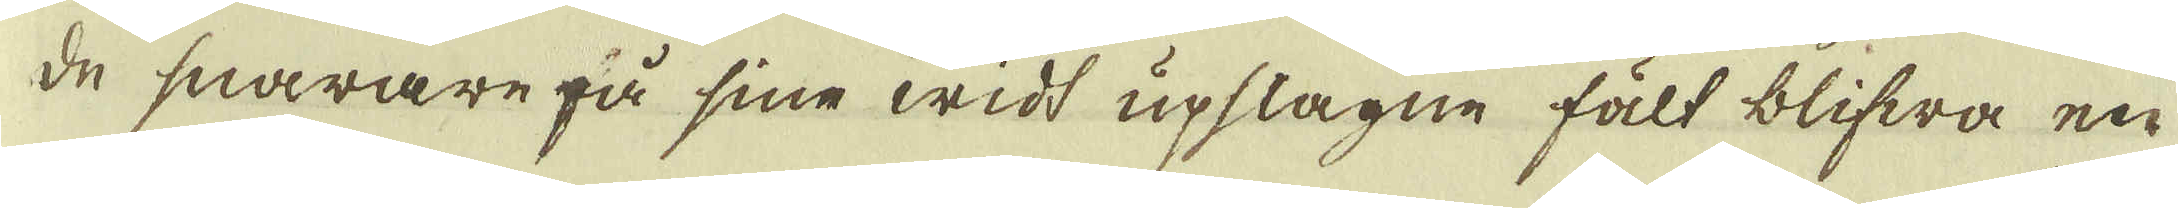de snarare på sine widt upslagne fält blifwa en
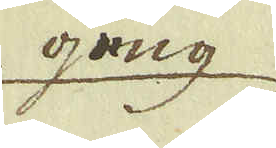gång
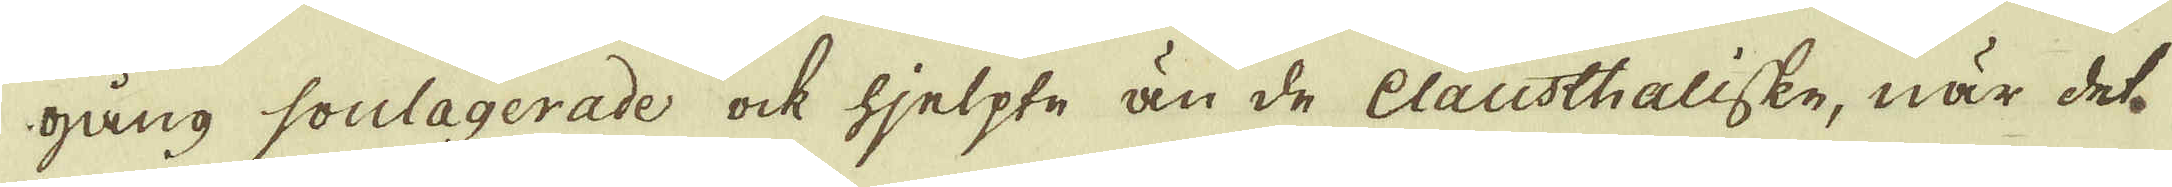gång soulagerade ock hjelpte än de Clausthaliske, när det
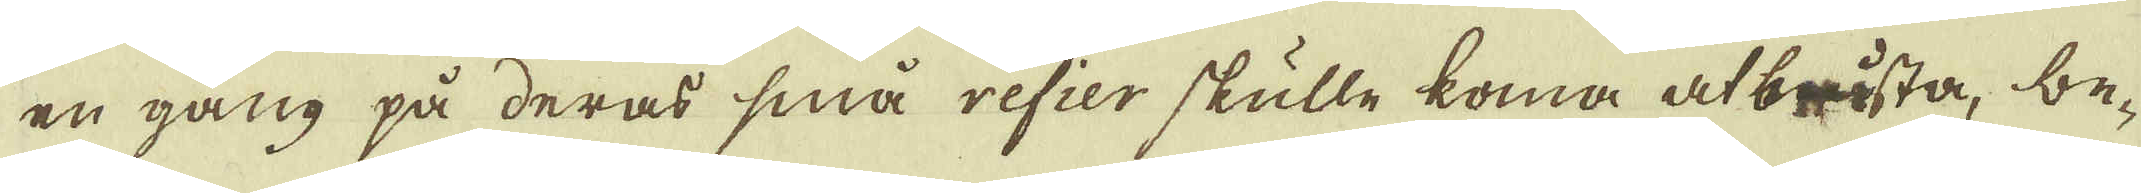en gång på deras små refier skulle koma at brösta, be-
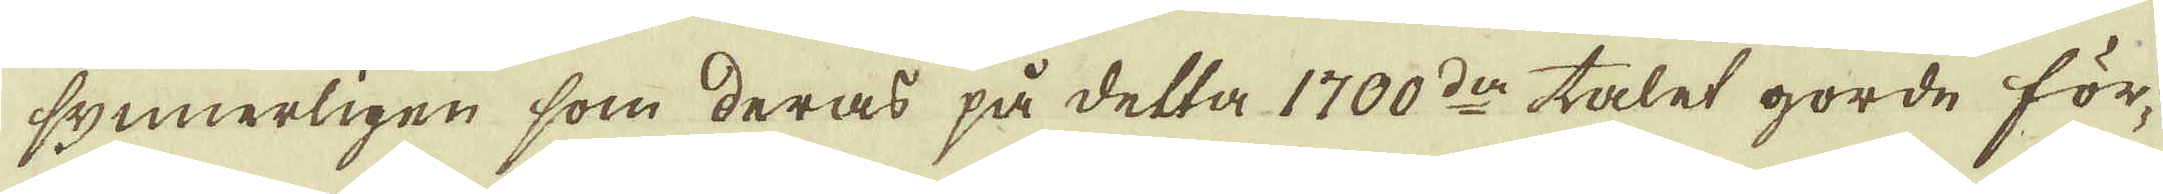synnerligen som deras på detta 1700:der talet gorde för-
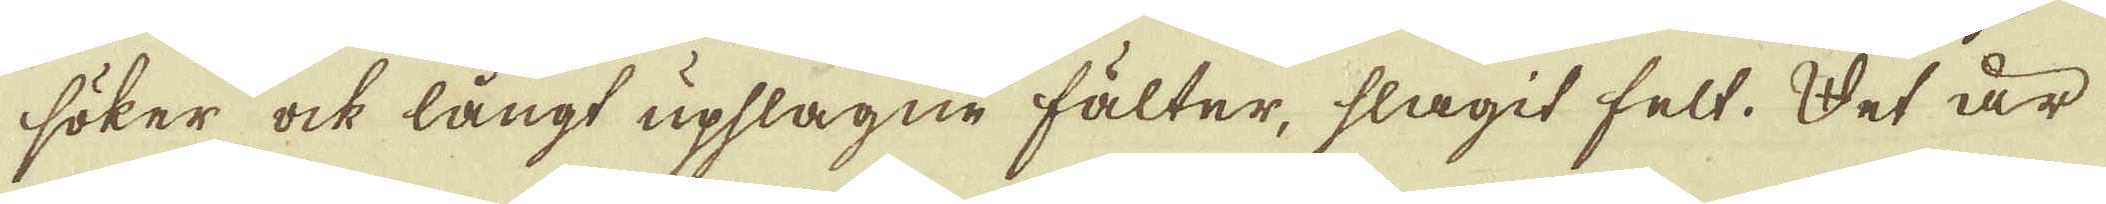söker ock långt upslagne fälter, slagit felt. Det är
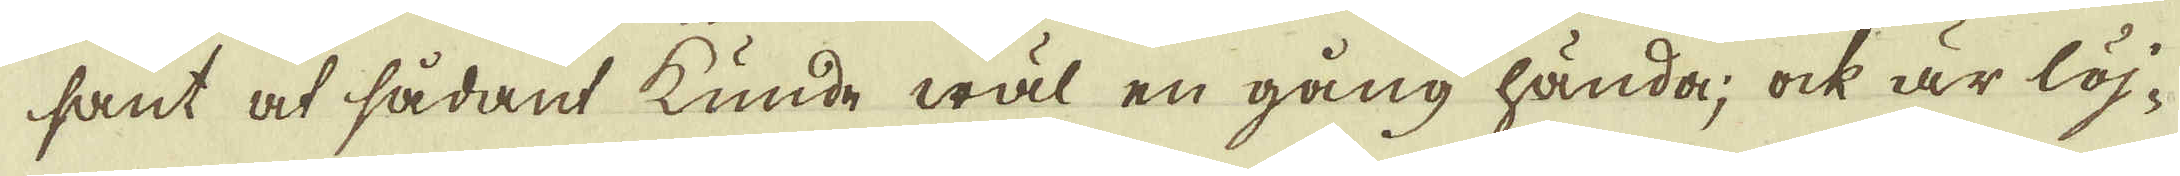sant at sådant kunde wäl en gång hända; ock är löj-
